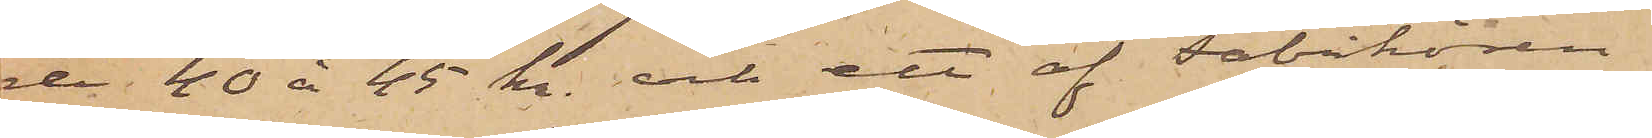de 40 à 45 kr. och ett af Fabrikören
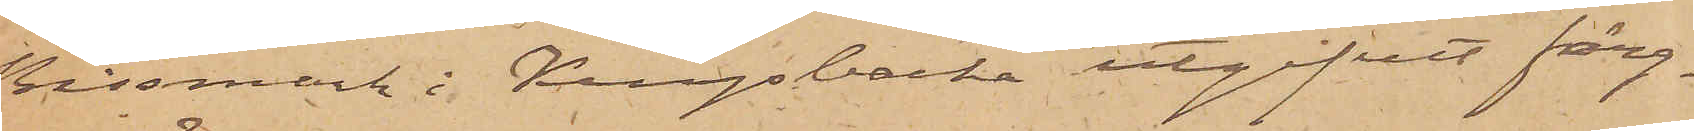Bissmark i Kungsbacka utgifvet färg¬
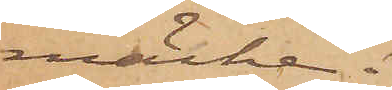märke.
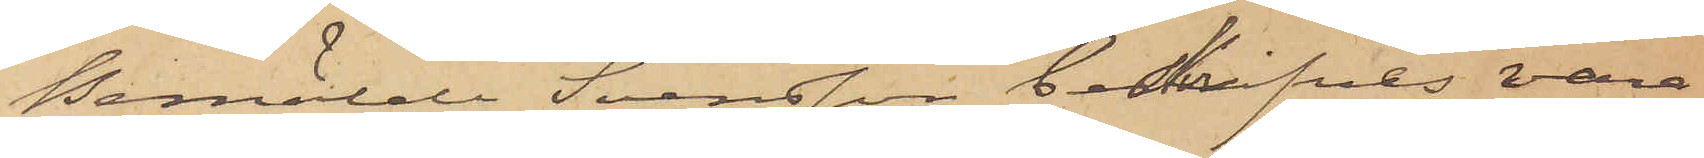Bemälde Svensson beskrifves vara
